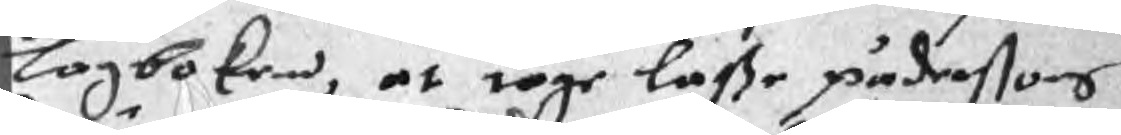lagboken, at tage laße päderßons
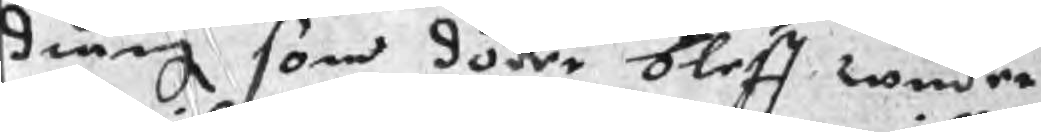dräng som döder bleff wnder
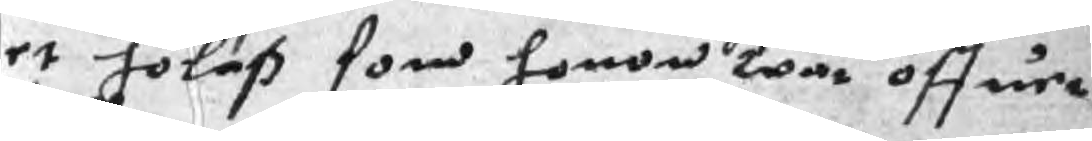et hölaß som honom war öffuer
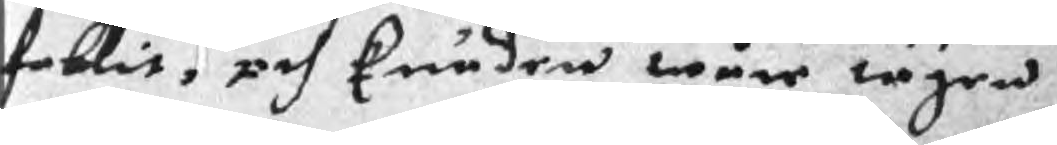fallit, och kunden wåre tagen
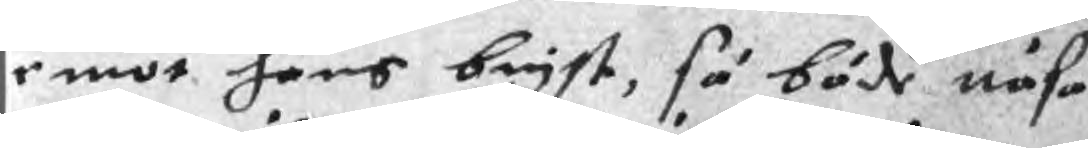emot hans bryst, så både näsa
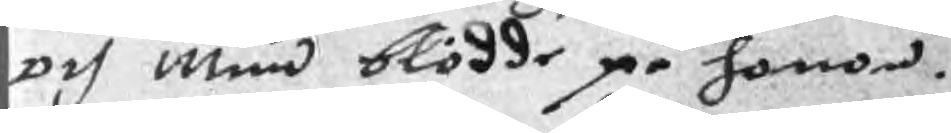och mun blödde på honom.
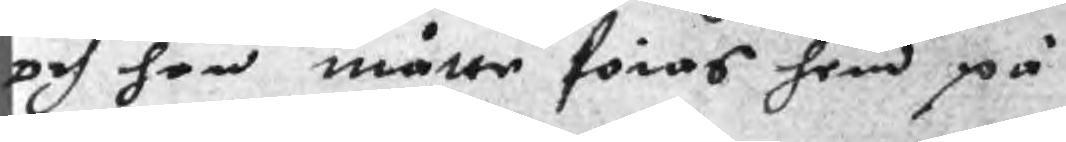och han måtte föras hem på
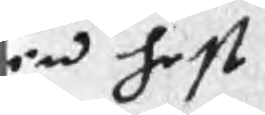en hest
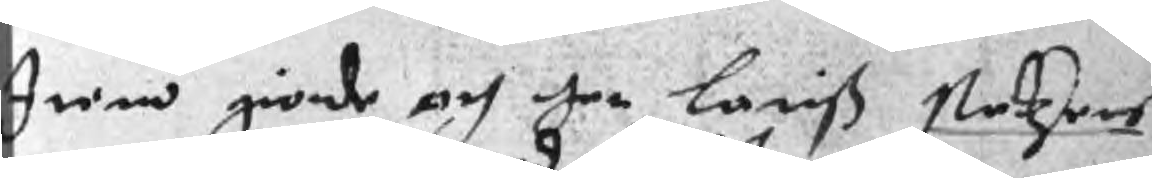Item giorde och her Lariß Stedzens
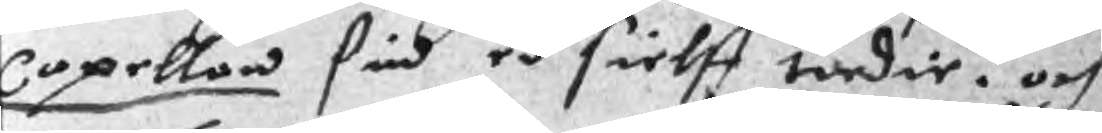Capellan sin ed sielff tredie. och
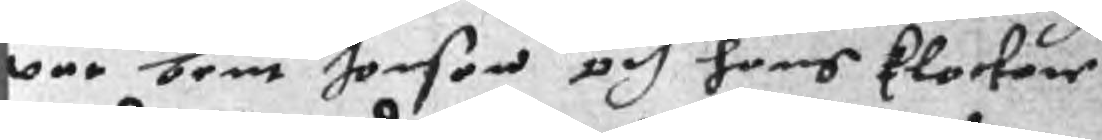war bent Jonson och hans klockare
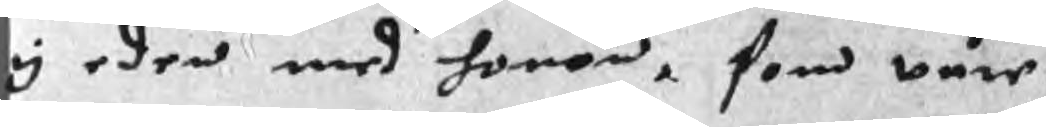y eden med honom, som wåre
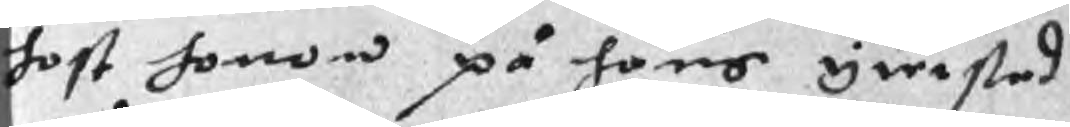host honom på hans ywrstad
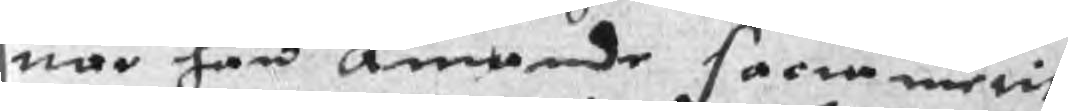när han amnede sarwnäetit
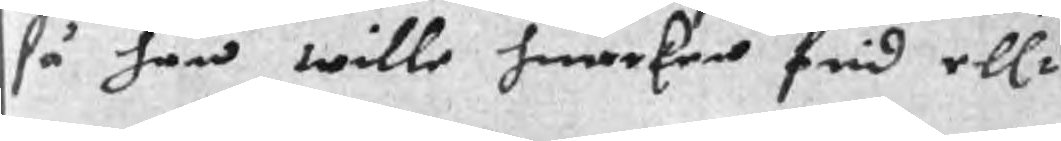så han wille huarken frid ellr
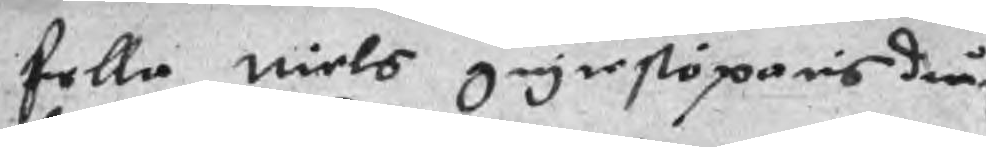fella Niels giytestöparis dråp
